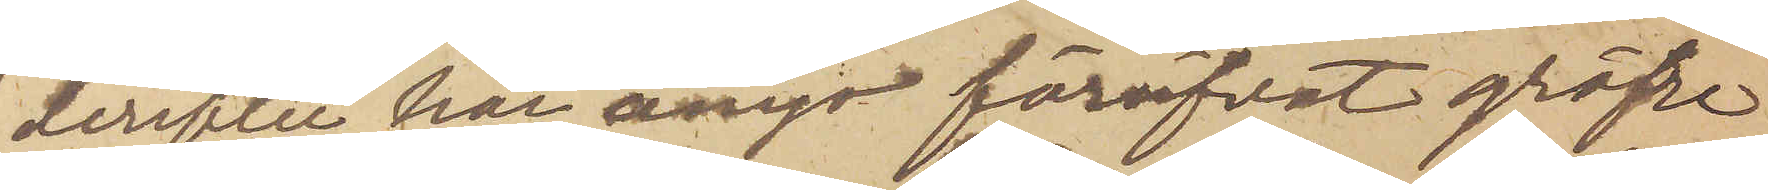derefter här ånyo föröfvat gröfre
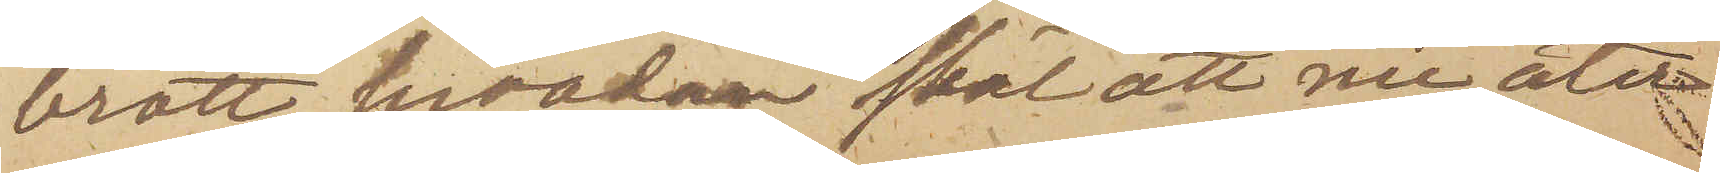brott, hvadan skäl att nu åter
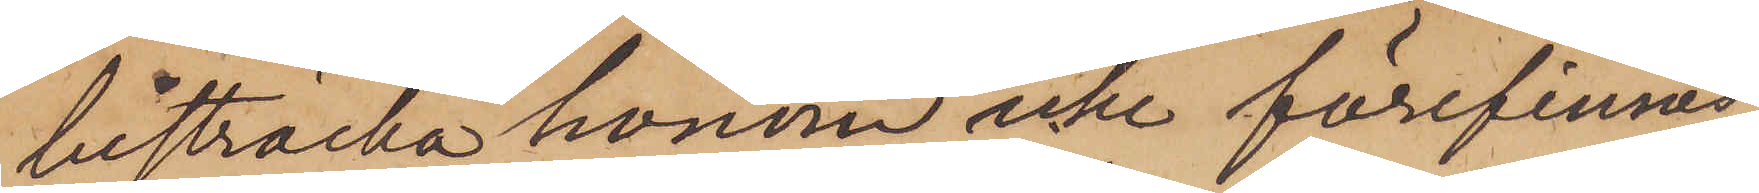bisträcka honom icke förefinnes;
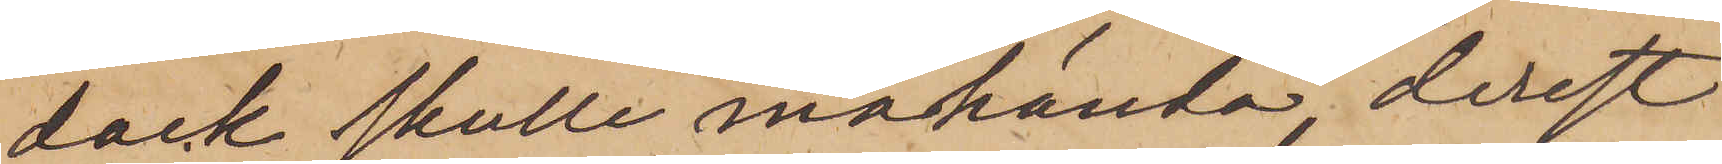dock skulle måhända, derest
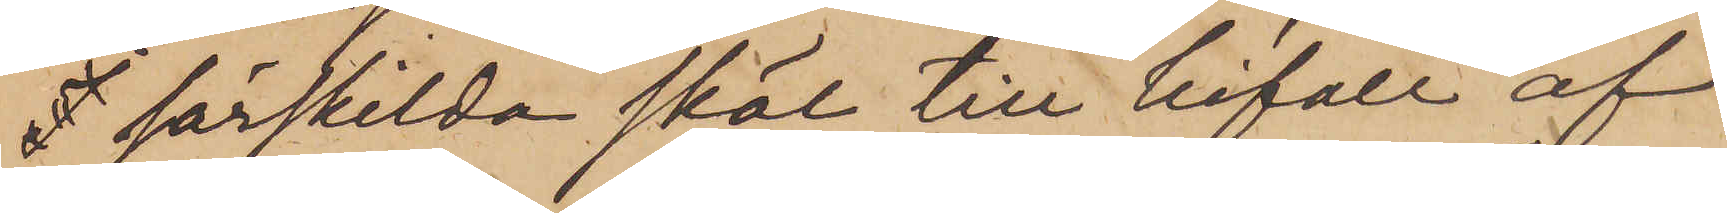 särskilda skäl till bifall af
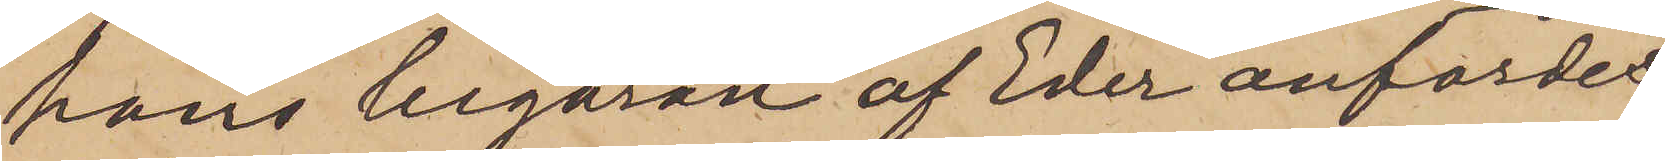hans begäran af Eder anfördes,
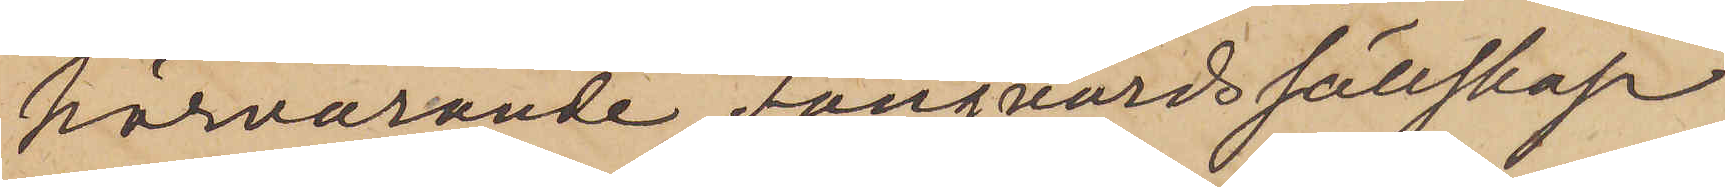härvarande Fångvårdssällskap
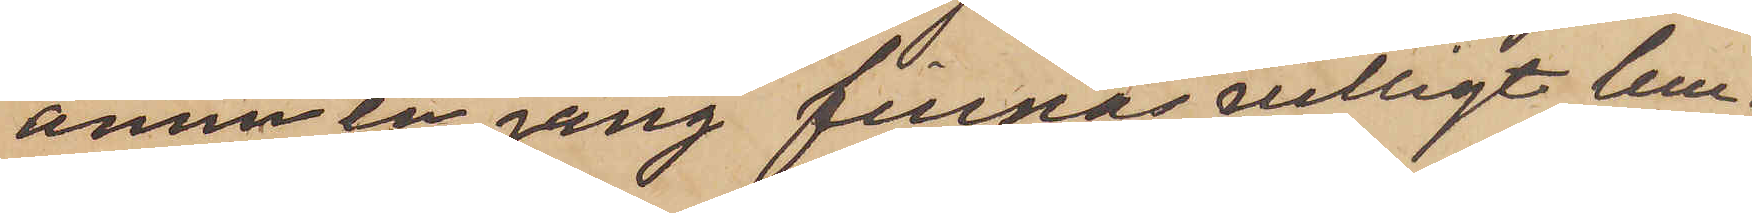ännu en gång finnas villigt lem¬
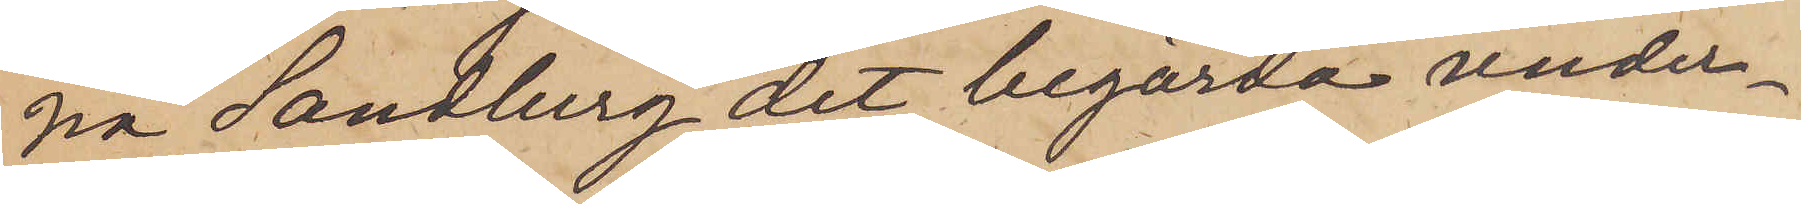na Sandberg det begärda under¬
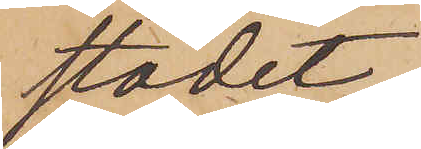stödet.
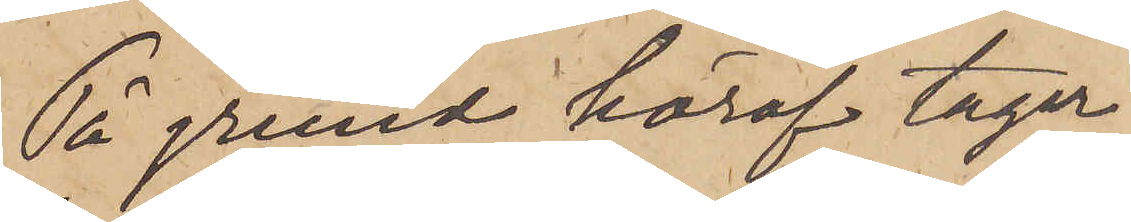På grund häraf tager
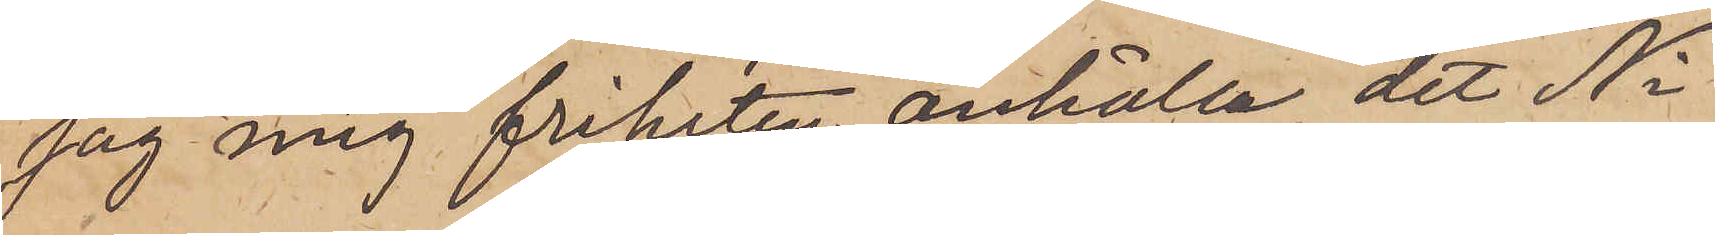jag mig friheten anhålla, det Ni
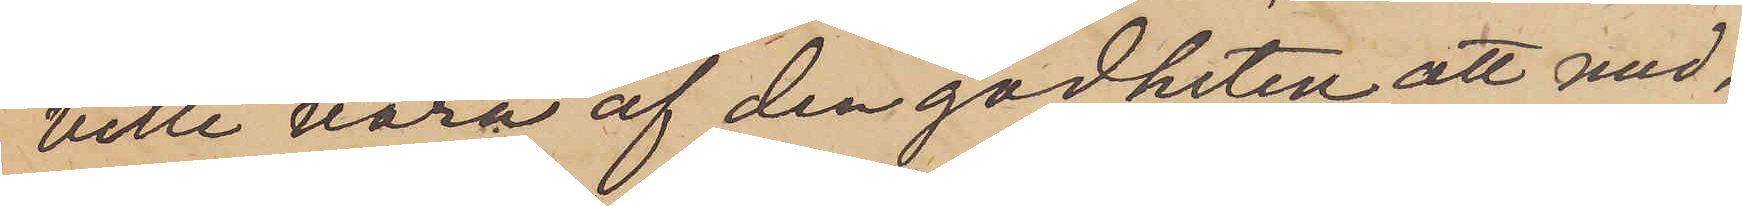ville vara af den godheten att med¬
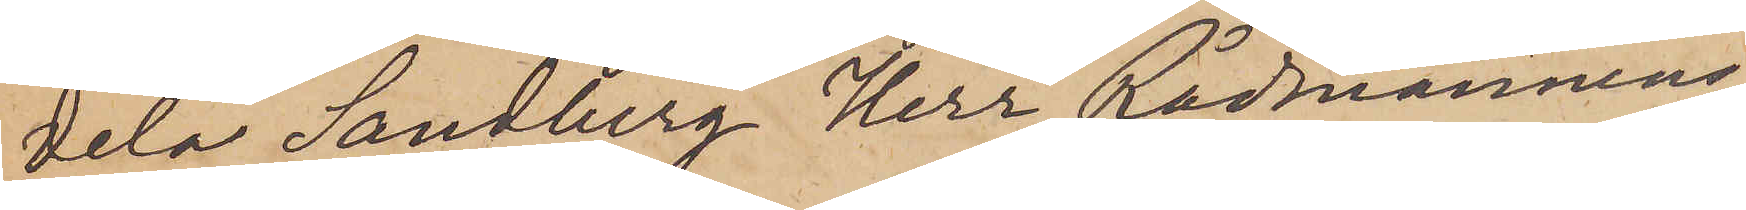dela Sandberg Herr Rådmannens
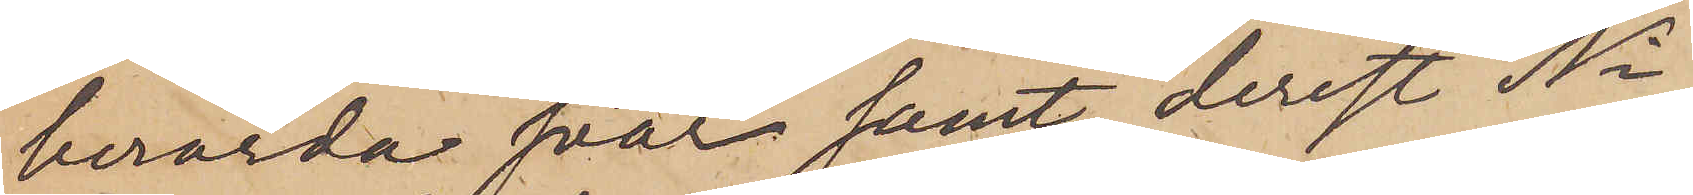berörda svar samt, derest Ni
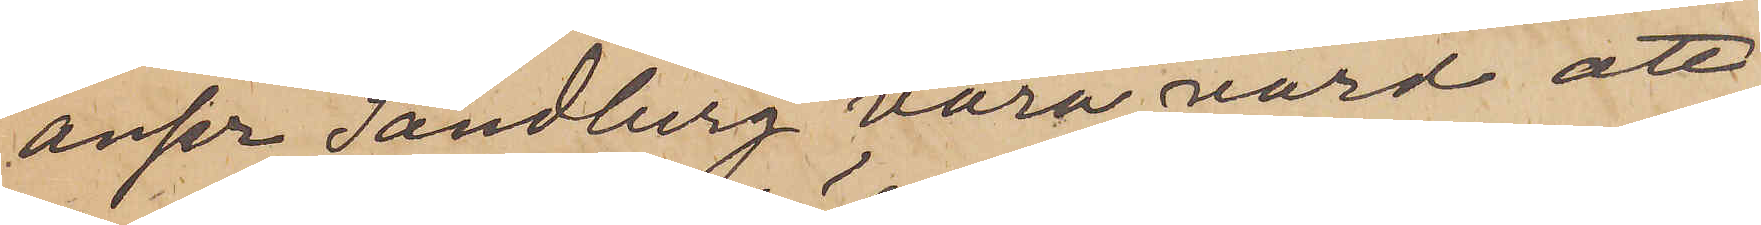anser Sandberg vara värd att
